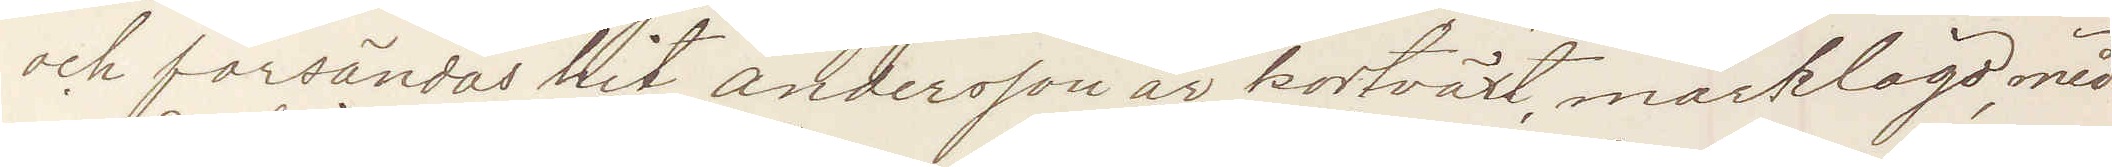och försändas hit andersson är kortväxt, mörklagd, med
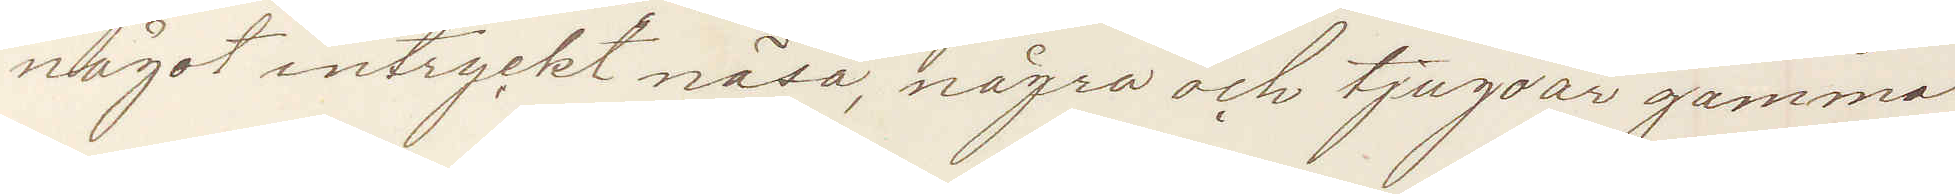något intryckt näsa, några och tjugo år gammal
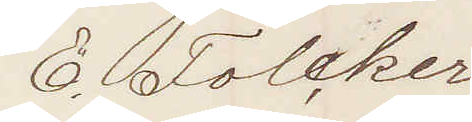E. Folcker
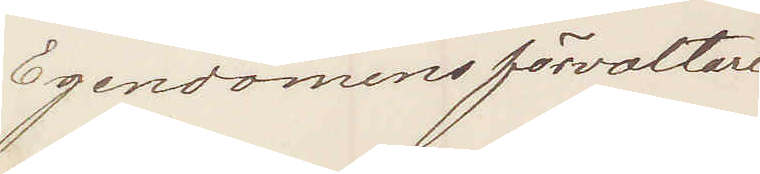Egendomsförvaltare
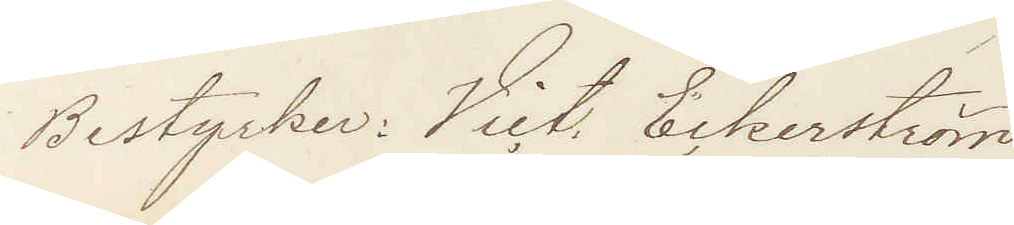Bestyrker: Vict. Eckerström
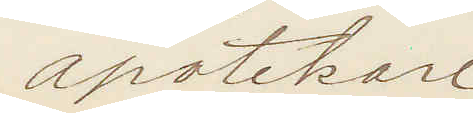apotekare
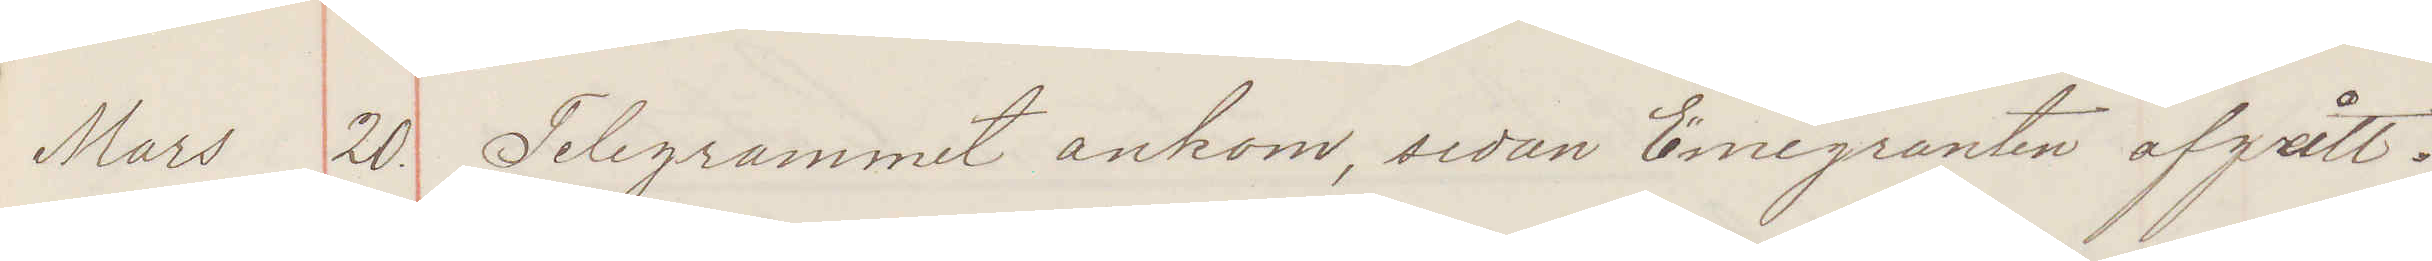Mars 20. Telegrammet ankom sedan Emigranten afgått.
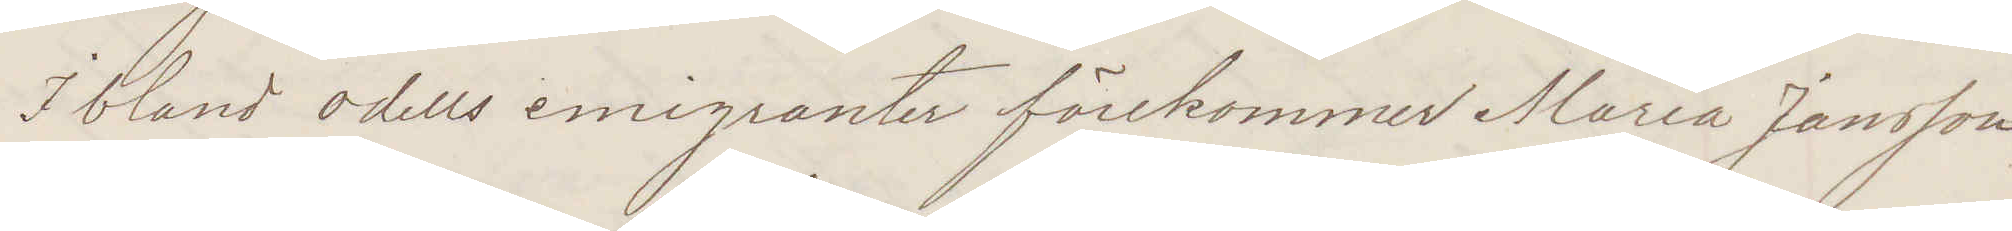I bland odells emigranter förekommer Maria Jansson
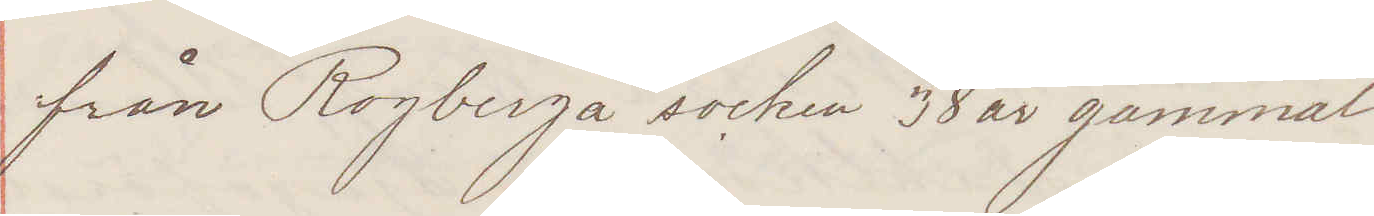från Rogberga socken 38 år gammal.
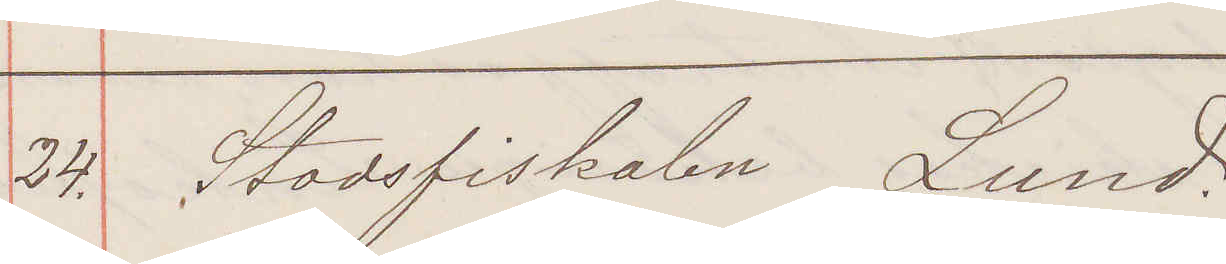24. Stadsfiskalen Lund
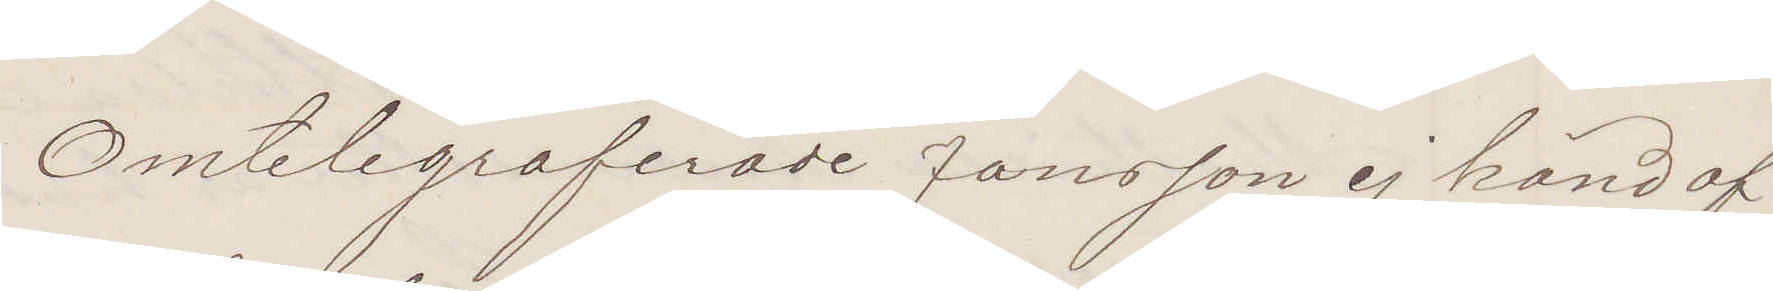Omtelegraferade Jansson ej känd af
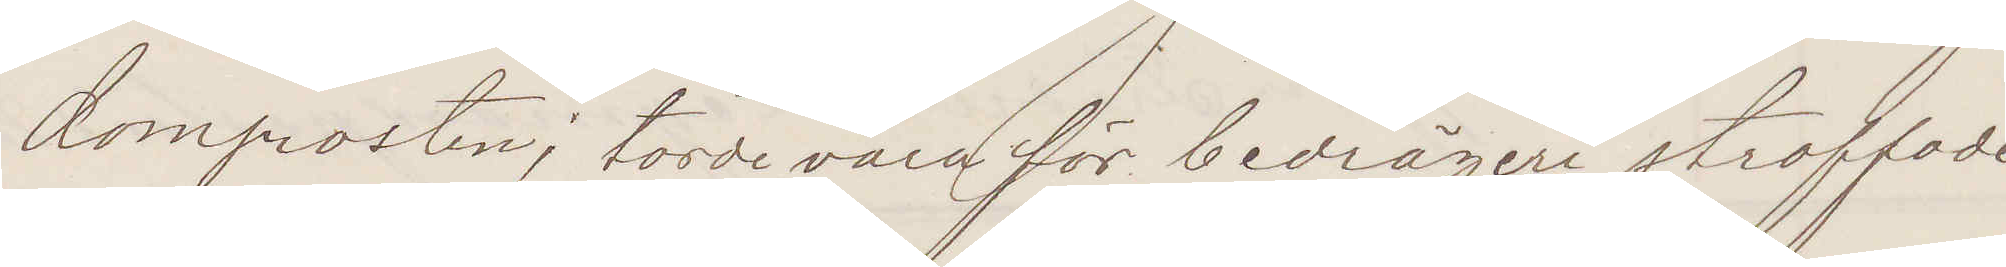domprosten; torde vara för bedrägeri straffade
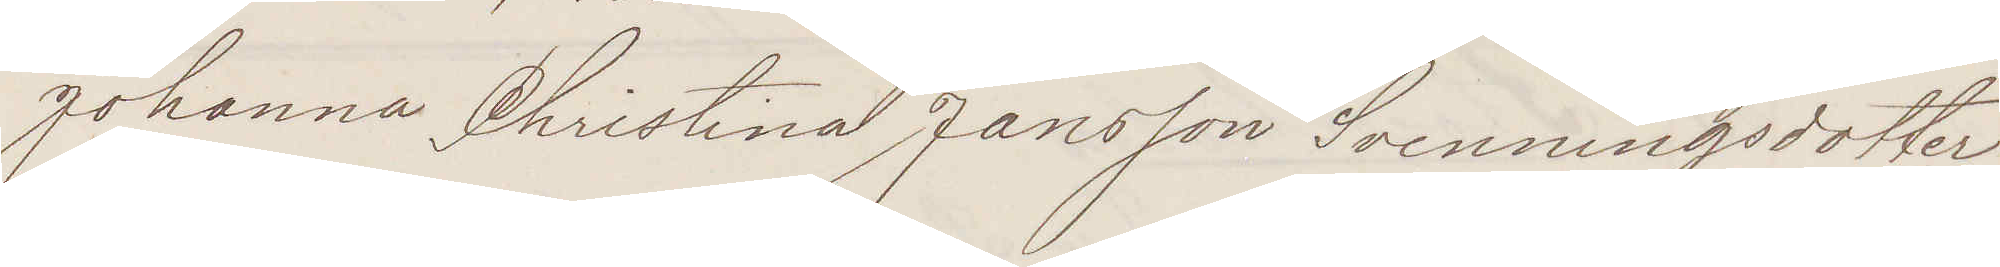Johanna Christina Jansson Svenningsdotter
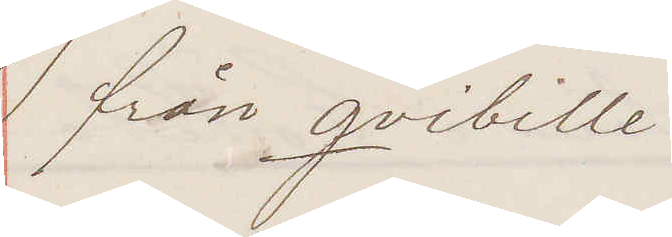från Qvibille.
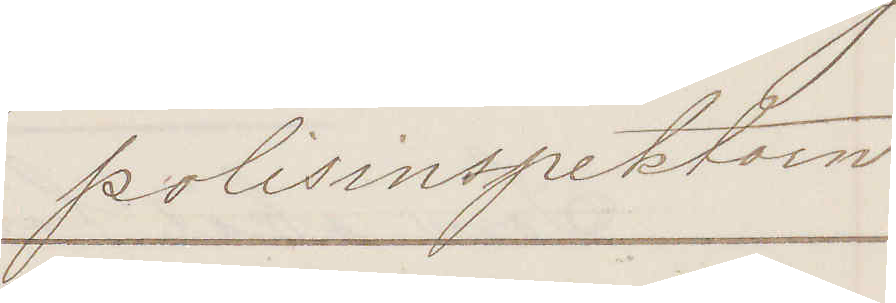Polisinspektorn.
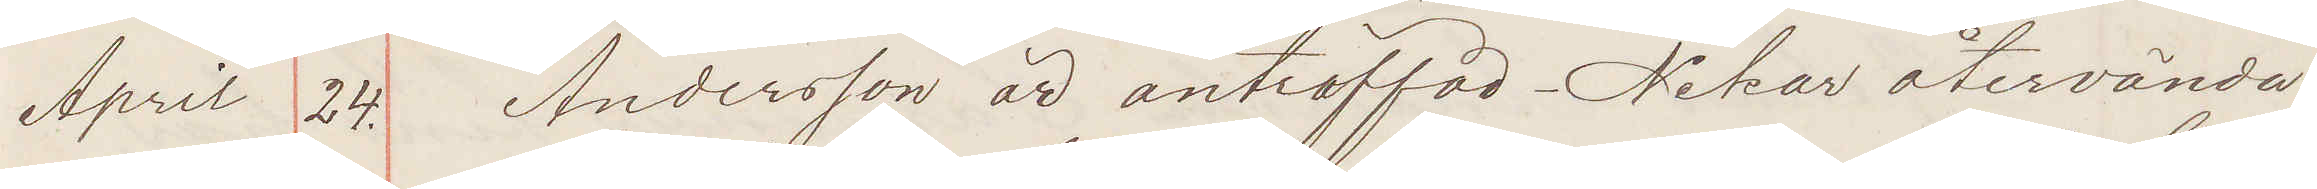April 24. Andersson är anträffad Nekar återvända!
